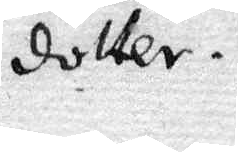dotter.
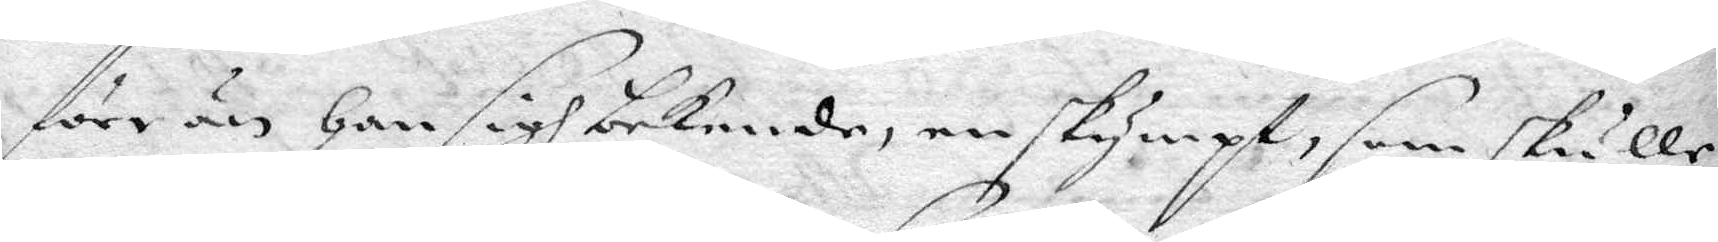förr än han sigh bekende, en skympt, som skulle
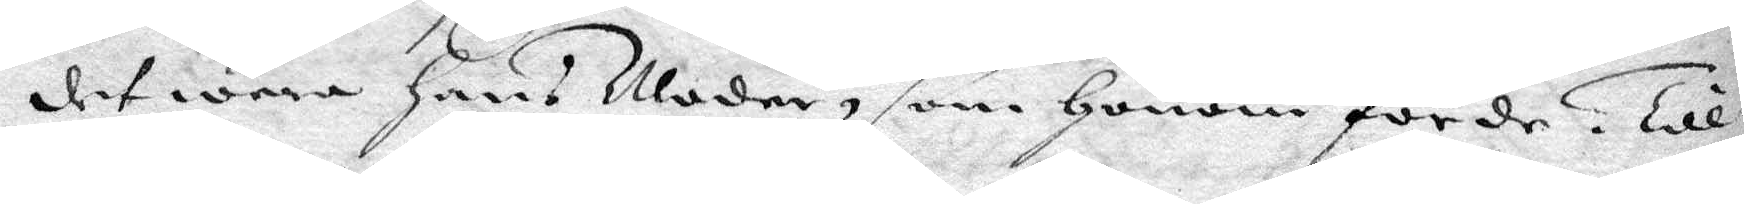det wara hans Moder, som honom förde. Till¬
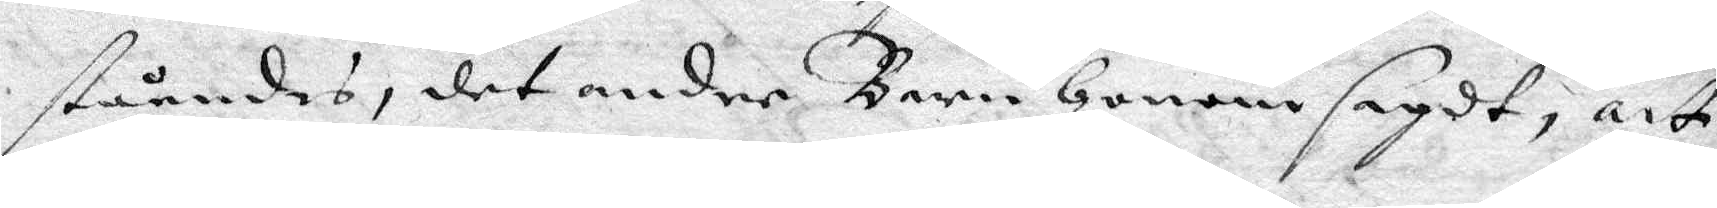ståendes, det andre Barn honom sagdt, att
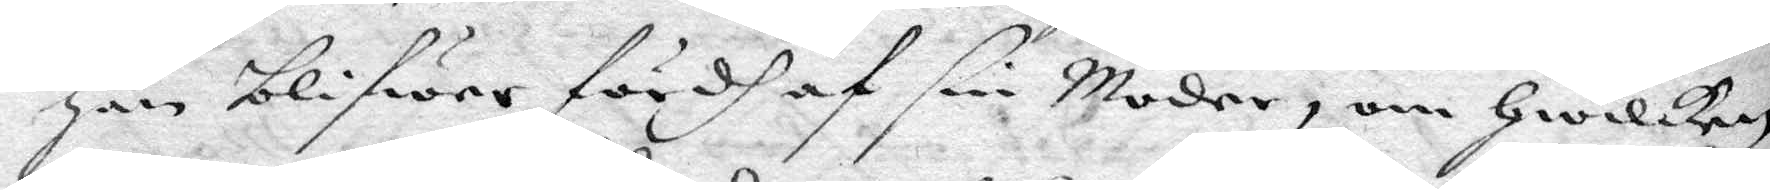han blifwer fördh af sin Moder, om hwilken
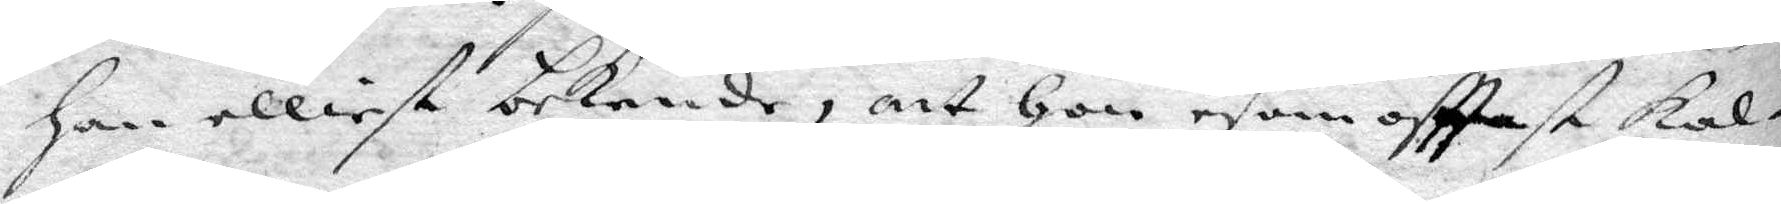han elliest bekende, att hon esom ofttast kal¬
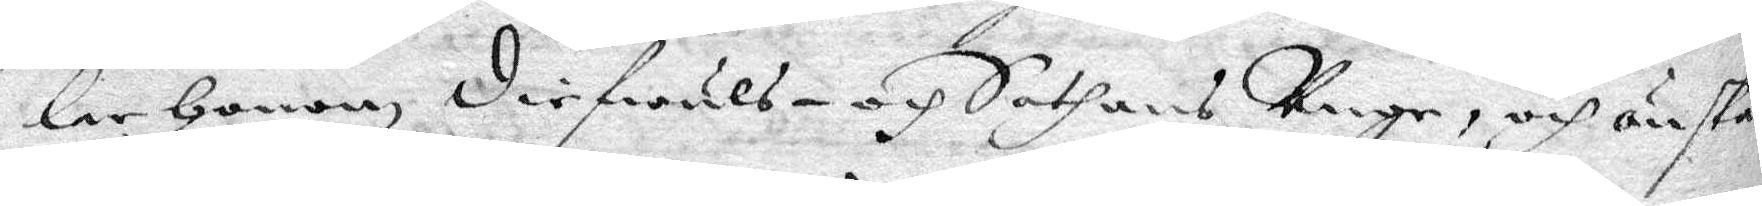lar honom diefwuls- och Sathans Unge, och önskar
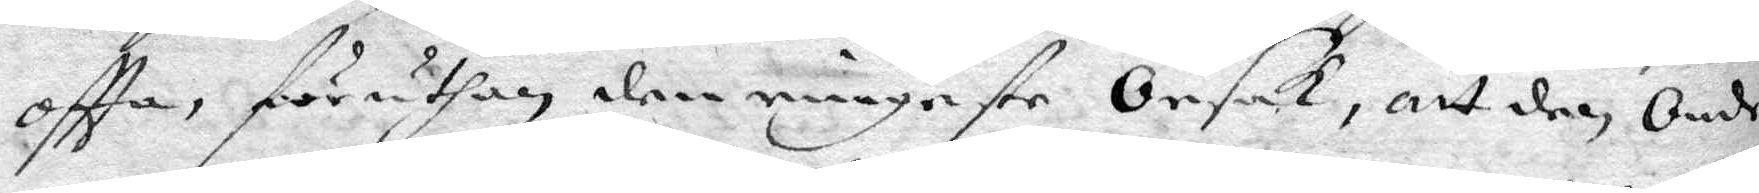oftta, föruthan den ringaste Orsak, att den Onde
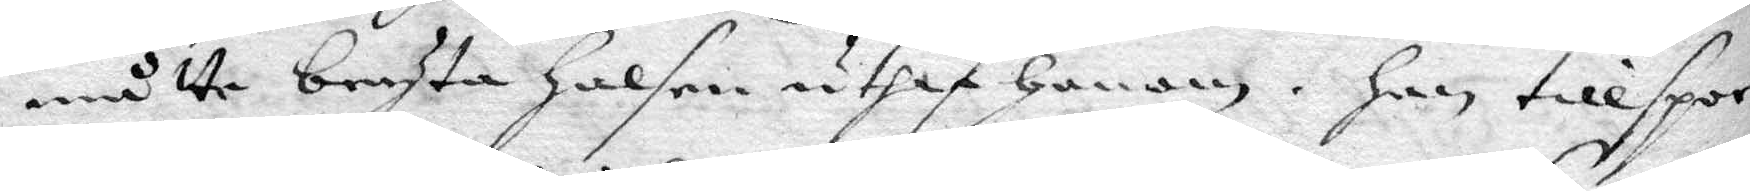måtte bryta halsen utaf honom. han tillspor¬
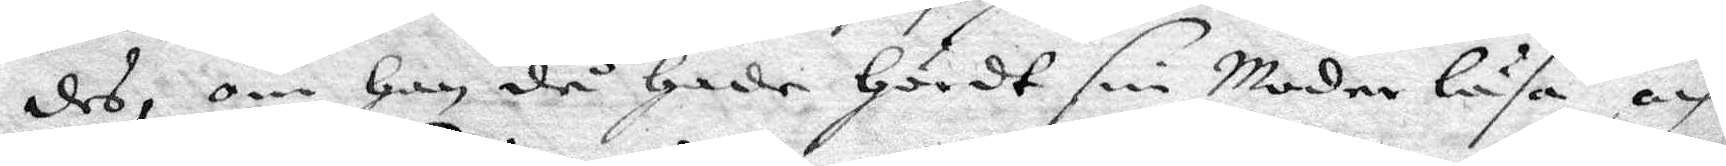des, om han då hade hördt sin Moder läsa och
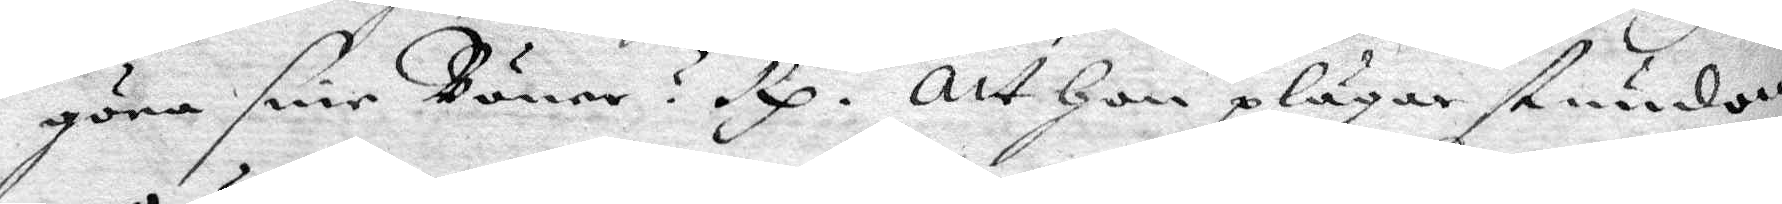göra sine Böner? Rp Att hon plägar stundom
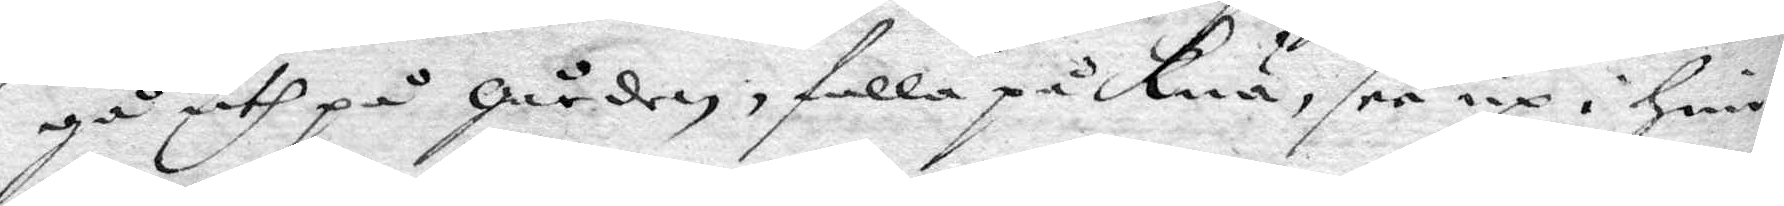gå uth på gården, falla på Knä, see up i him¬
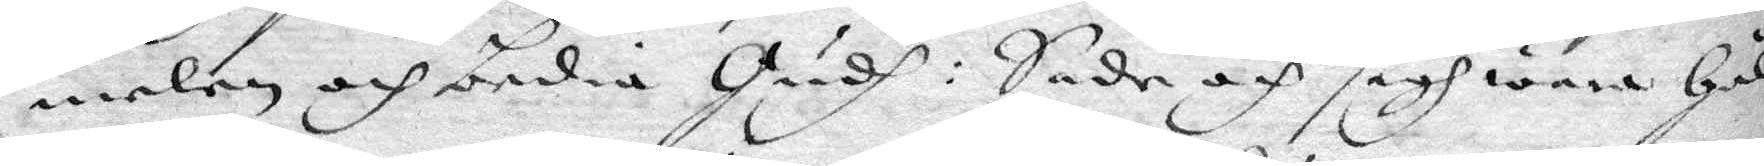melen och bedia Gudh: Sade och sigh wara hål¬
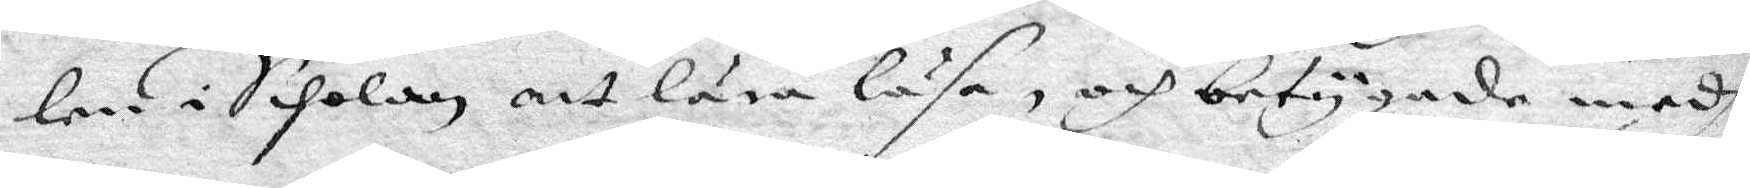len i Scholan att lära läsa, och betygade medh
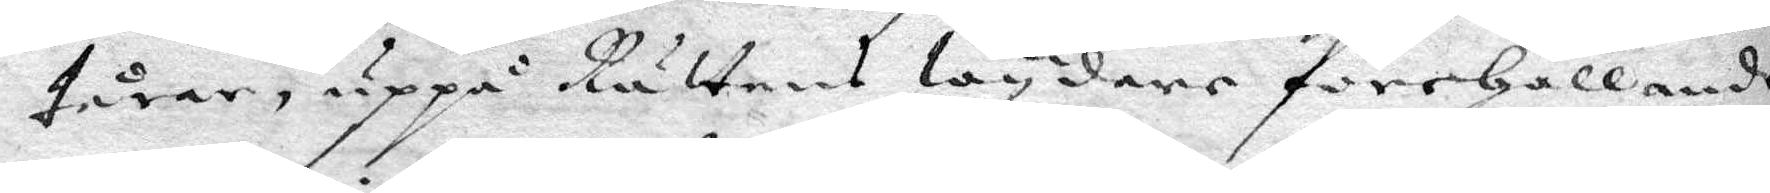tårar, uppå Rättens Wydare förehållande,
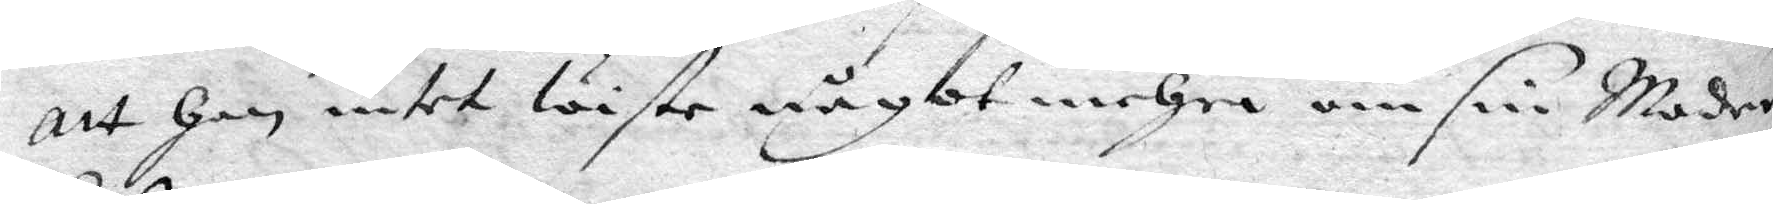att han intet Wiste något mehra om sin Moder
